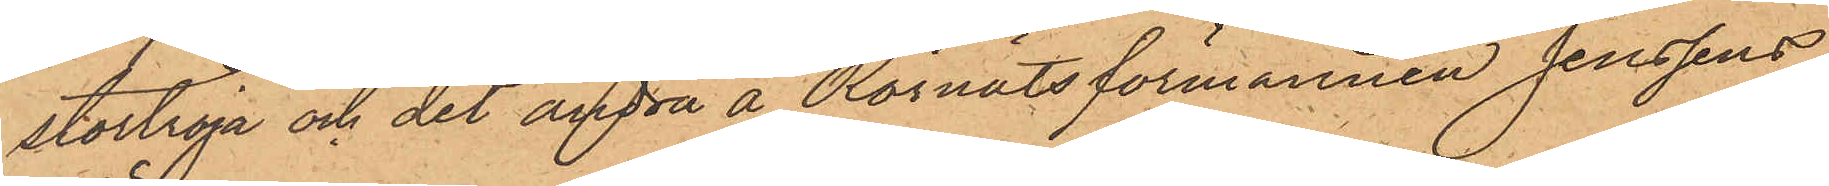stortröja och det andra å Rörnätsförmannen Jenssens
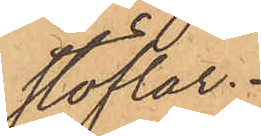stöflar.
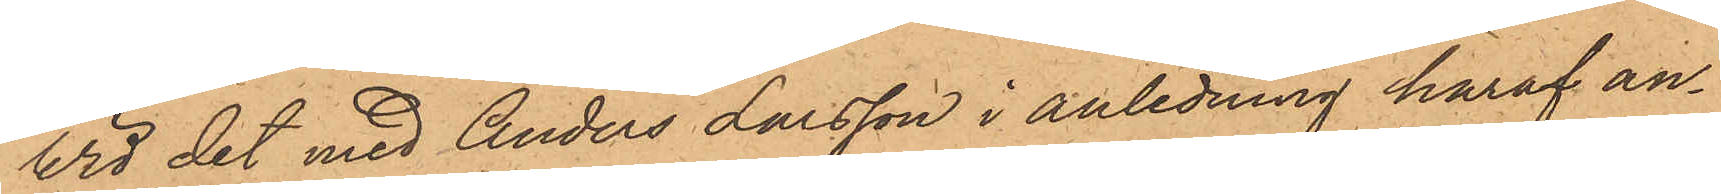Vid det med Anders Larsson i anledning häraf an¬
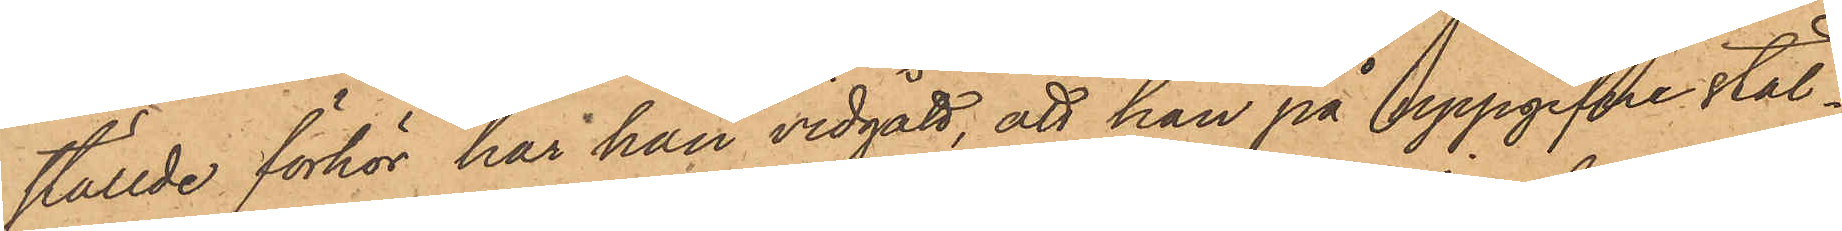ställde förhör har han vidgått, att han på uppgifne stäl¬
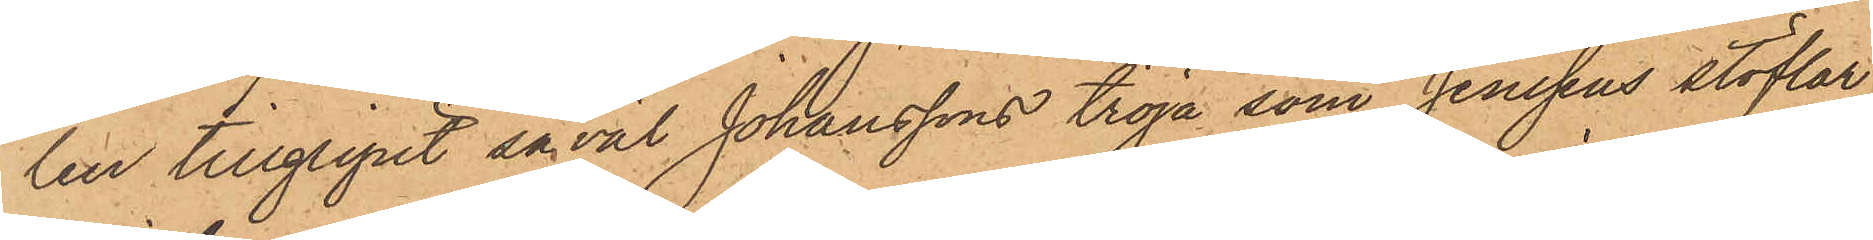len tillgripit såväl Johanssons tröja som Jenssens stöflar,
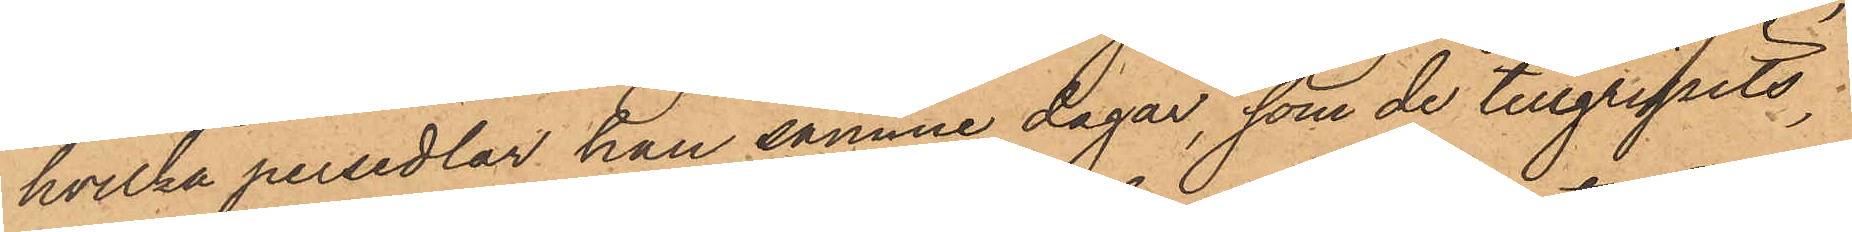hvilka persedlar han samme dagar, som de tillgripits,
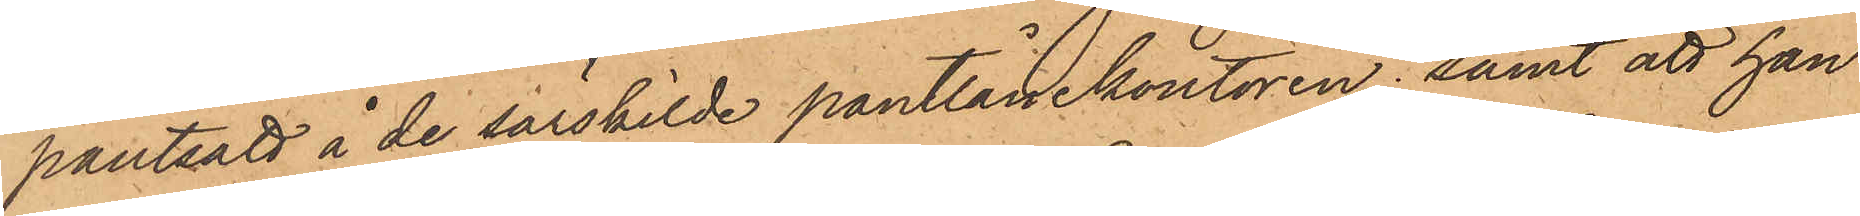pantsatt å de särskilde pantlånekontoren; samt att han
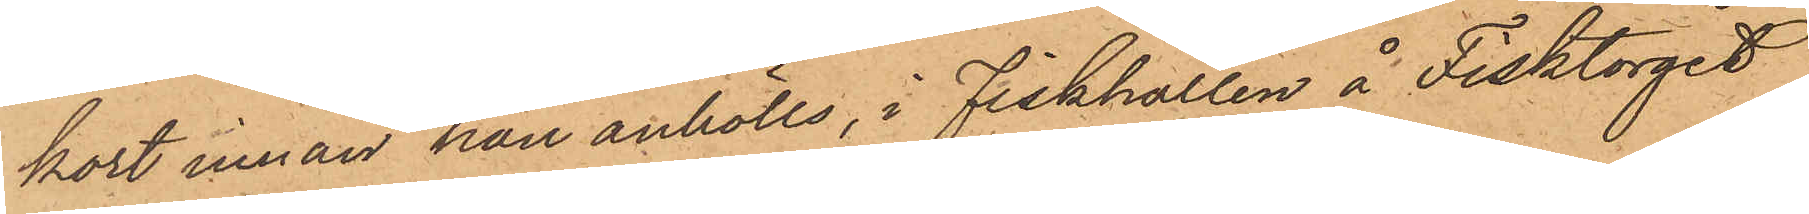kort innan han anhölls, i Fiskhallen å Fisktorget
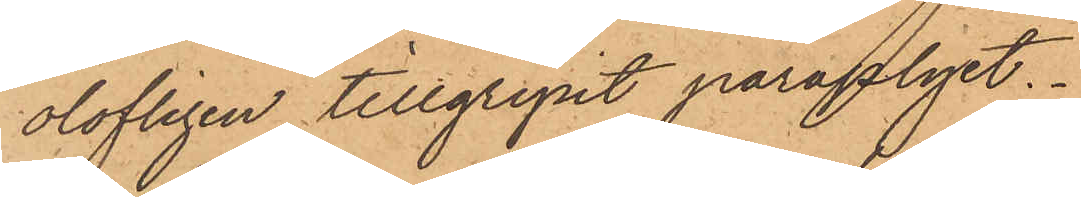olofligen tillgripit paraplyet.
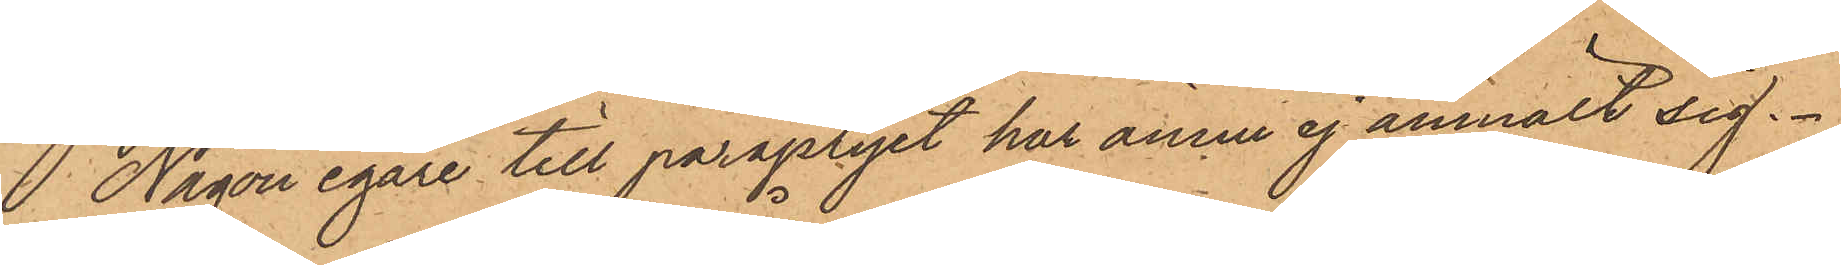Någon egare till paraplyet har ännu ej anmält sig.
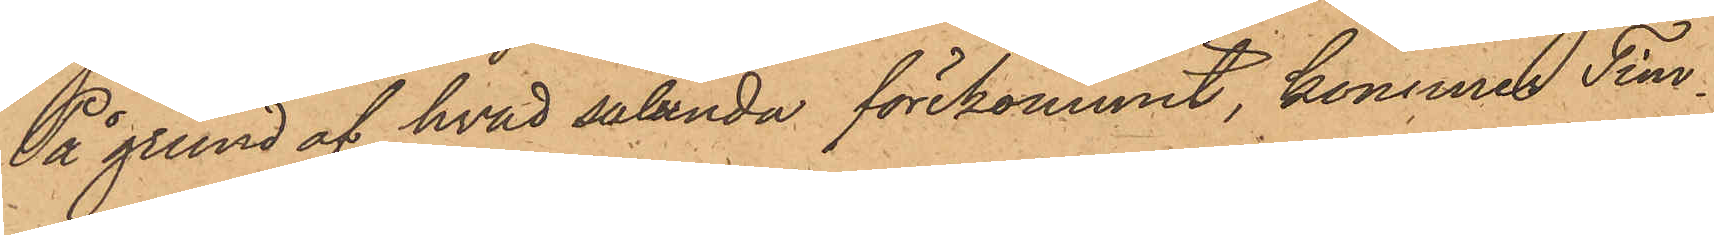På grund af hvad sålunda förekommit, kommer Tim¬
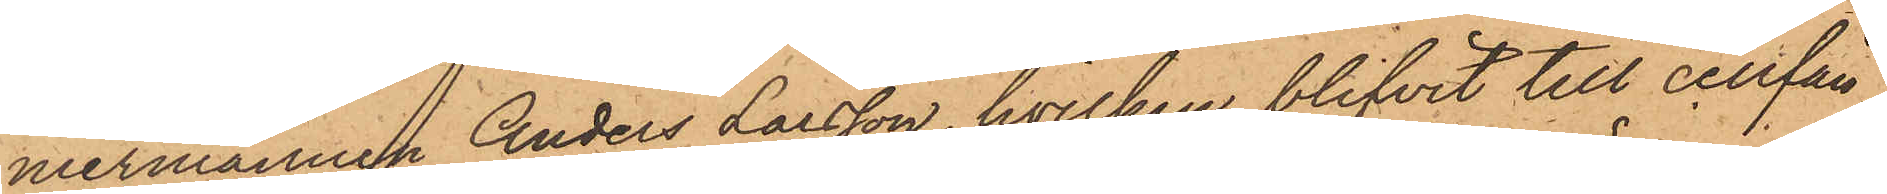mermannen Anders Larsson, hvilken blifvit till cellfän¬
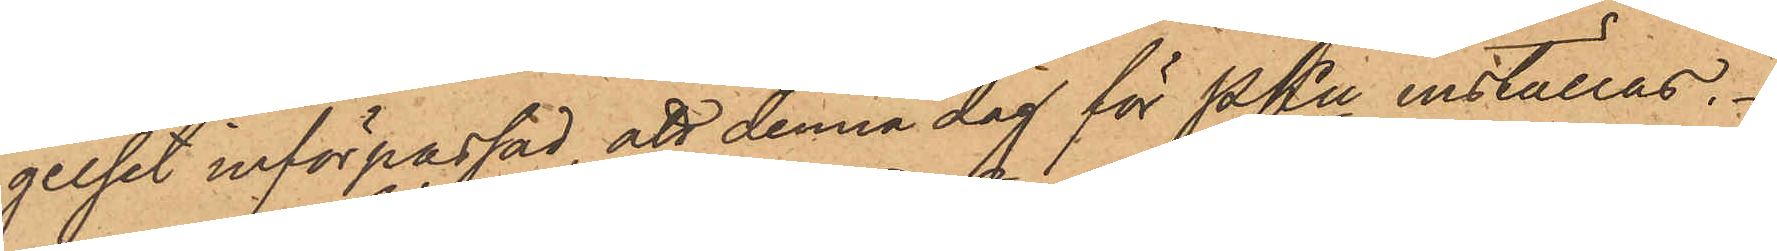gelset införpassad, att denna dag för PKn inställas.
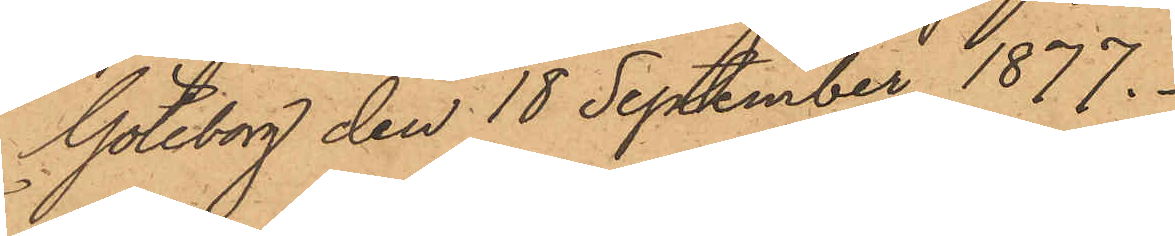Göteborg den 18 September 1877.
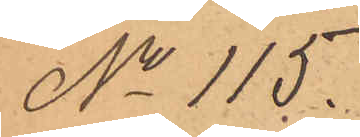No 115.
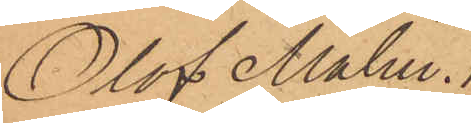Olof Malm.
